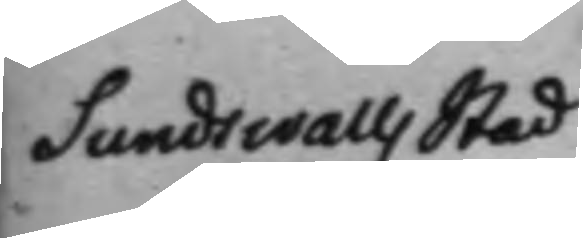Sundswalls stad
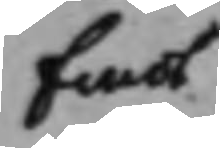Emot
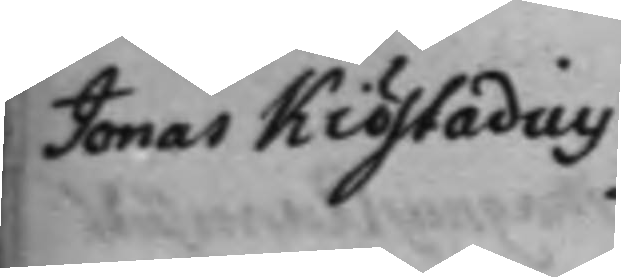Jonas Kiöstadius
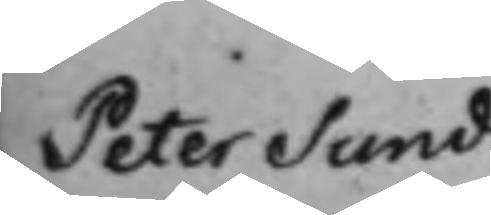Peter Sund
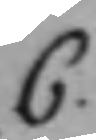C.
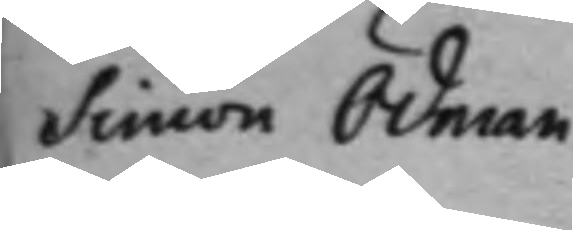Simon Ödman
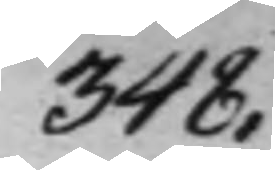348.
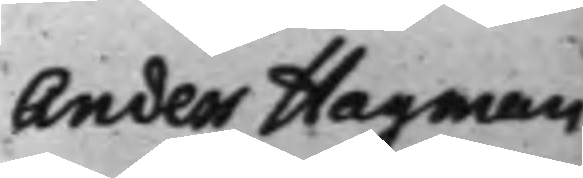Anders Hagman
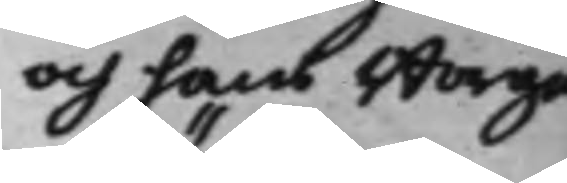och hans Borge¬
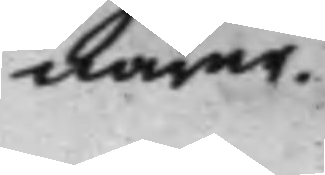närer.
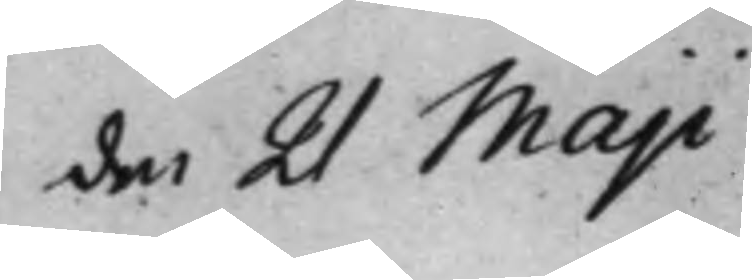den 21 Maji
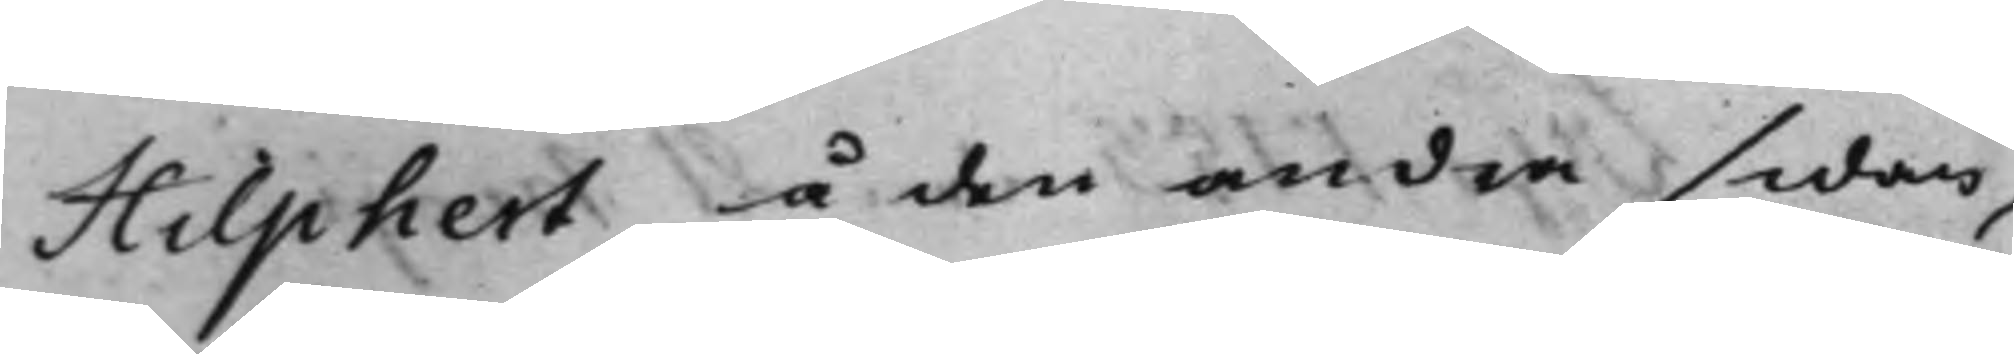Hilphert, å den andra sidan,
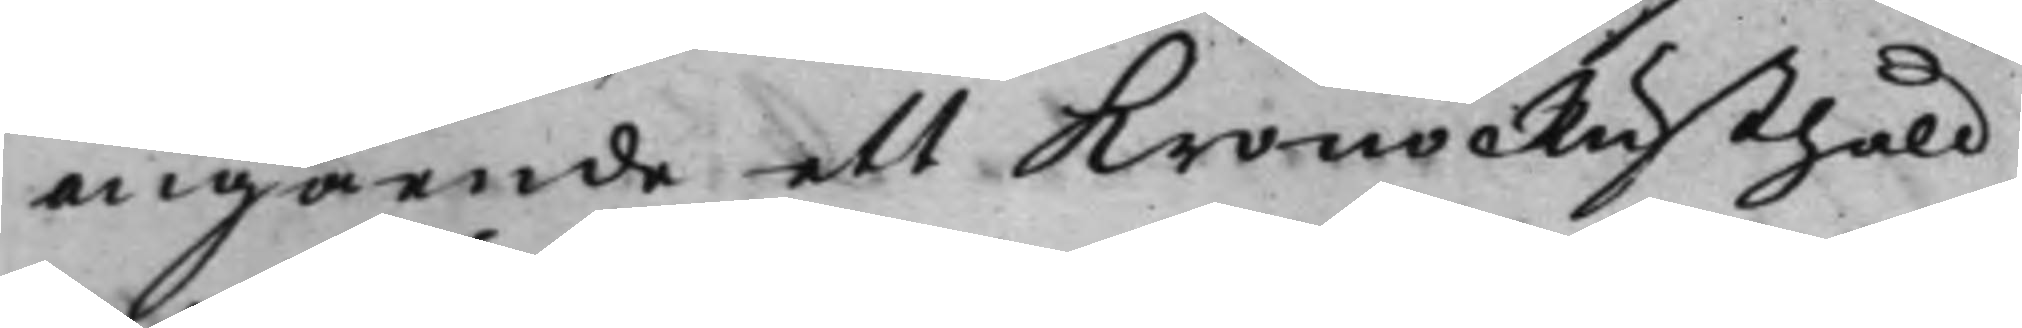angående ett KronoRusthåld
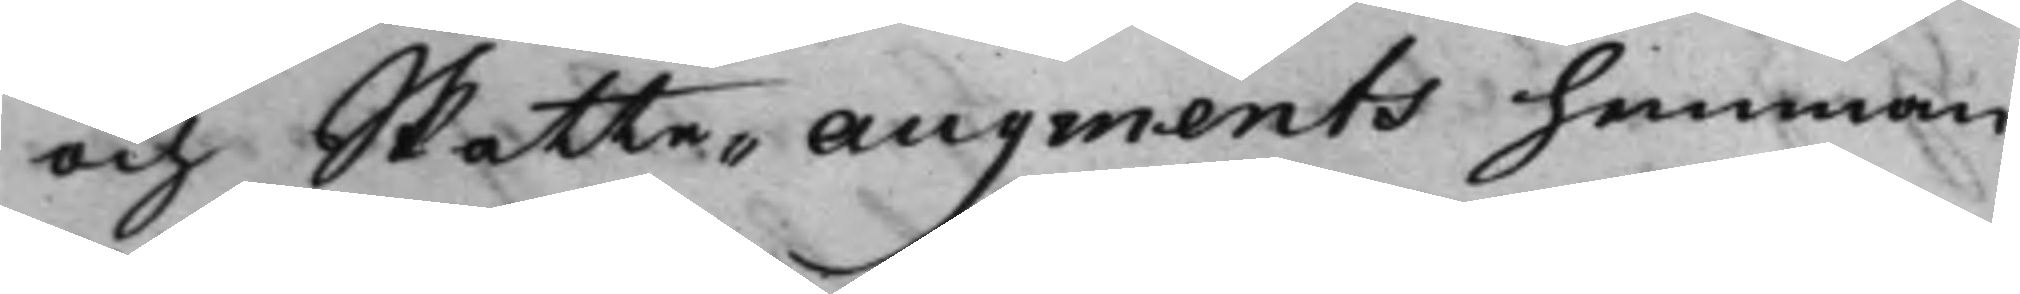och Skatte-Augments hemman
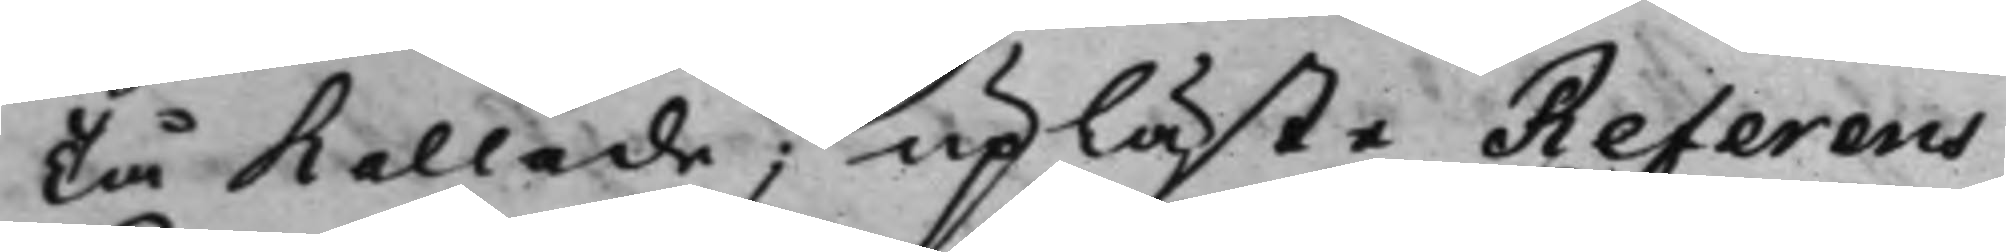Tå kallade; upläste Referens
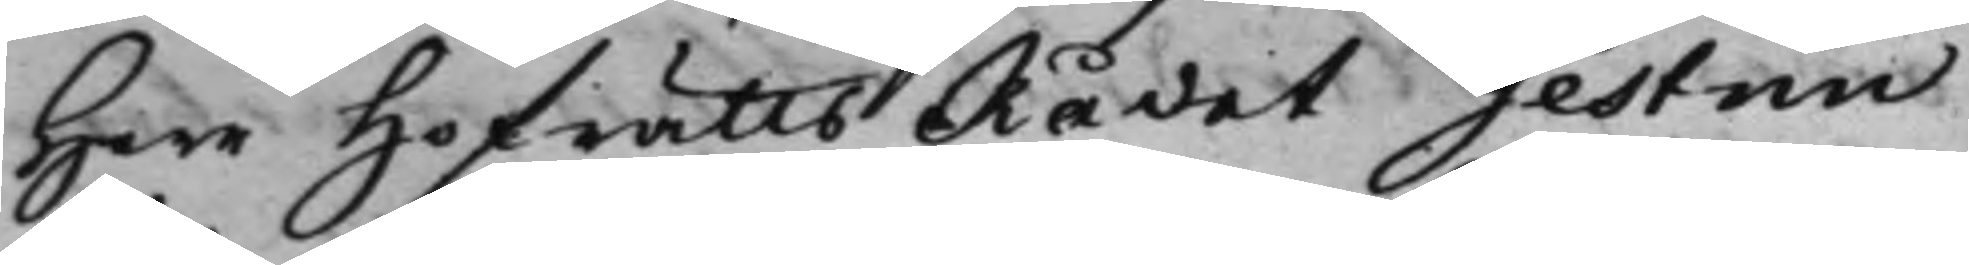Herr HofrättsRådet Gestrin
